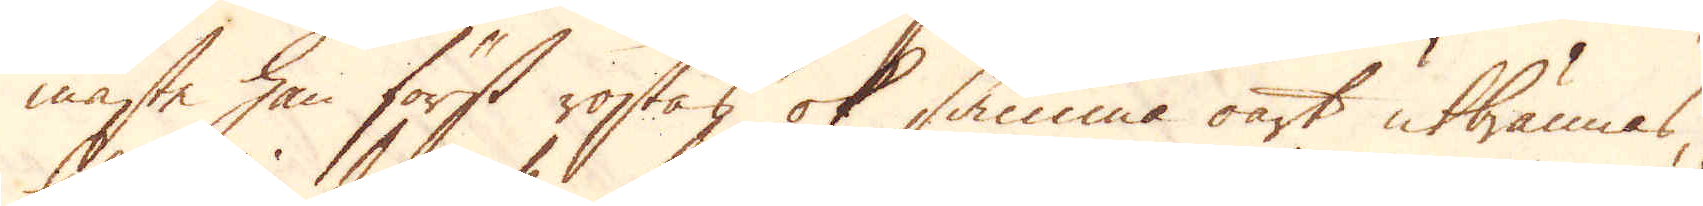måste han först rostas ok samma oart utbrännas,
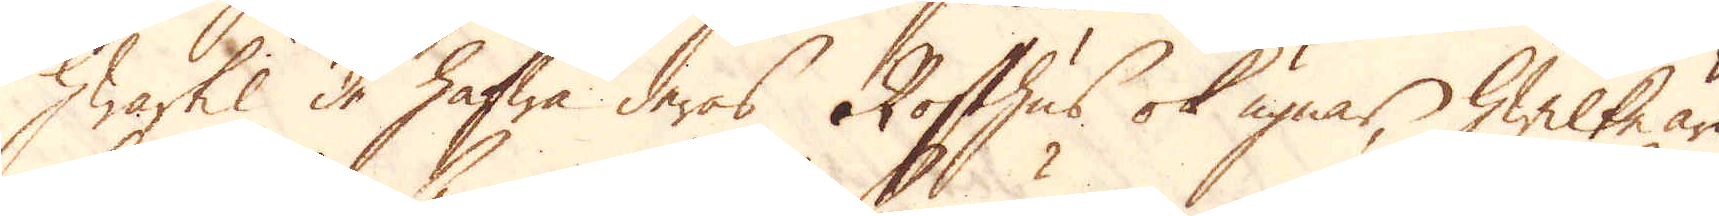Hwartil de hafwa deras Rosthus, ok ugnar, hwilke äro
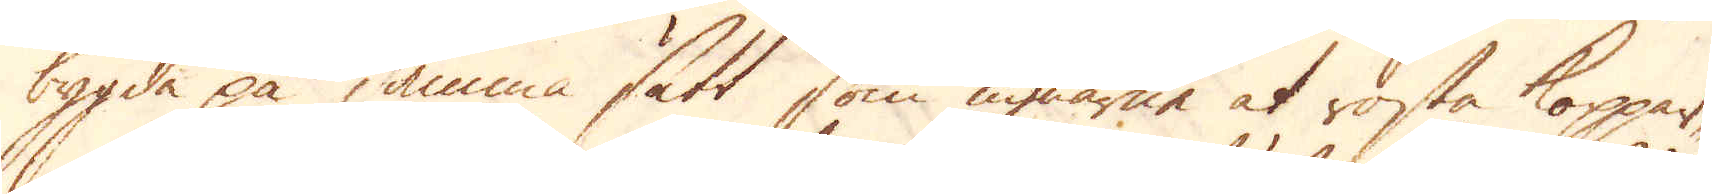bygda på samma sätt som ugnarne at rosta koppar-
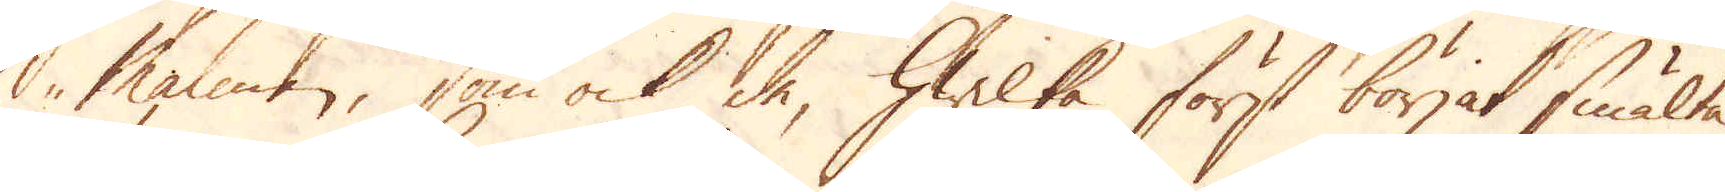Malmen, som ock de, hwilka först börjat smälta
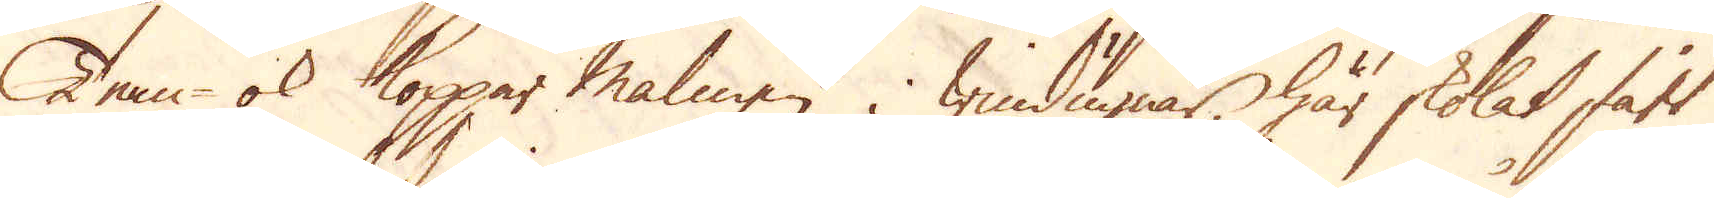Tenn- ok Koppar malmen i windugnar, här skolat fått
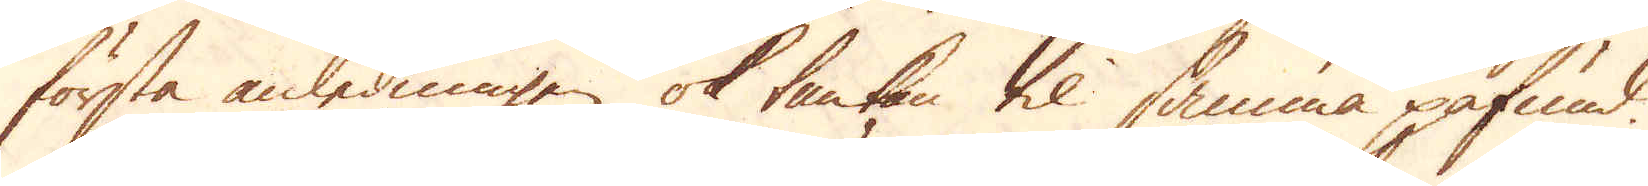första anledningen ok tankan til samma påfund.
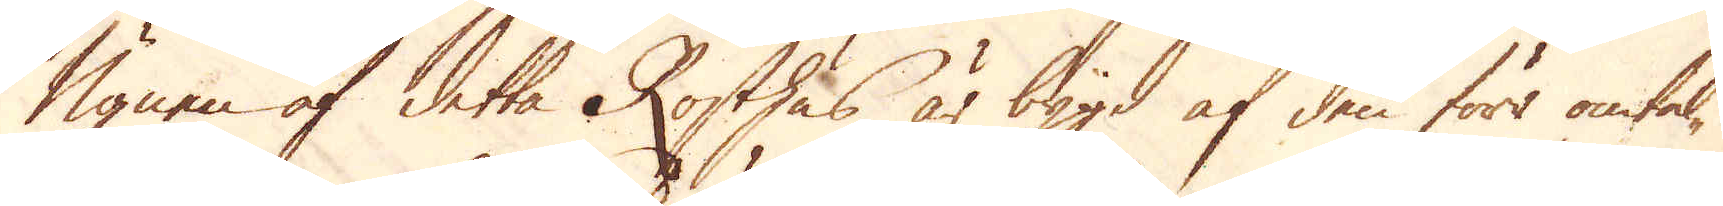Ugnen af detta Rosthus är bygd af den förr omtal-
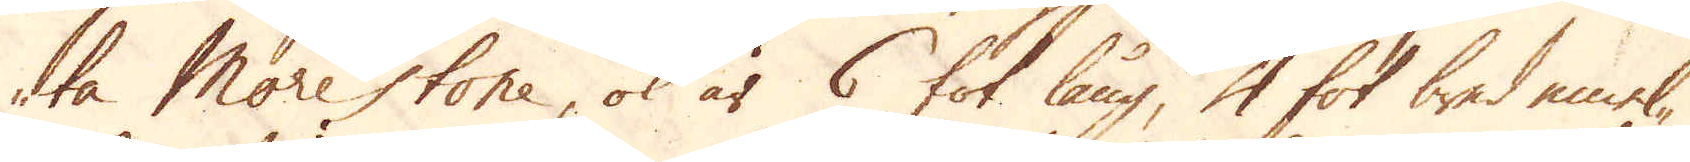te Morestone, ok är 6 fot lång, 4 fot bred emel-
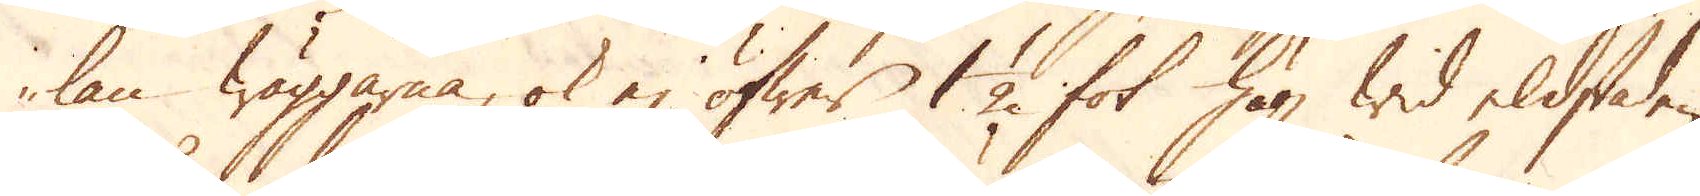lan wäggarna, ok ej öfwer 1 1/2 fot hög wid eldstaden,
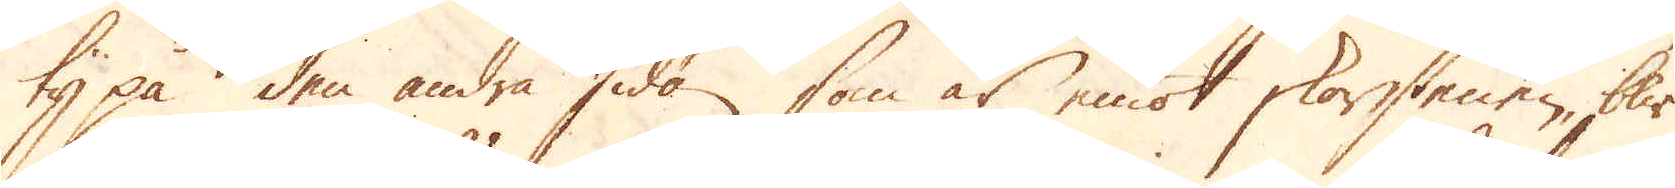ty på den andra sidan, som är emot skorstenen, blir
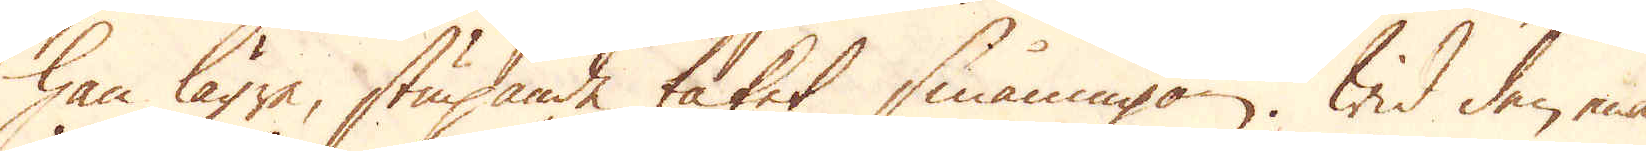han lägre, stupande taket småningom. Wid den ena
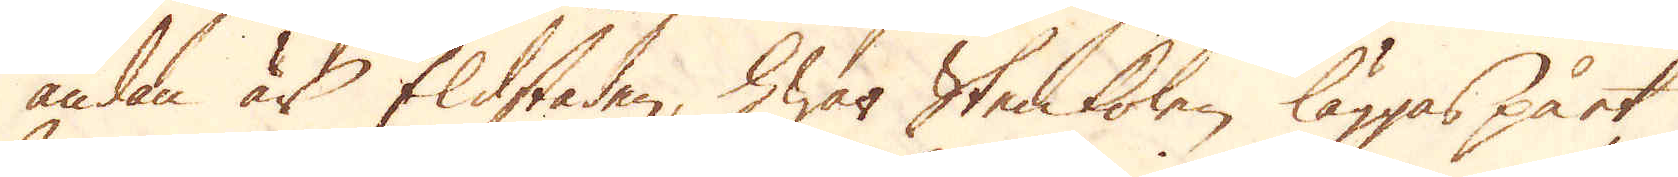ändan är Eldstaden, hwar stenkolen läggas på et
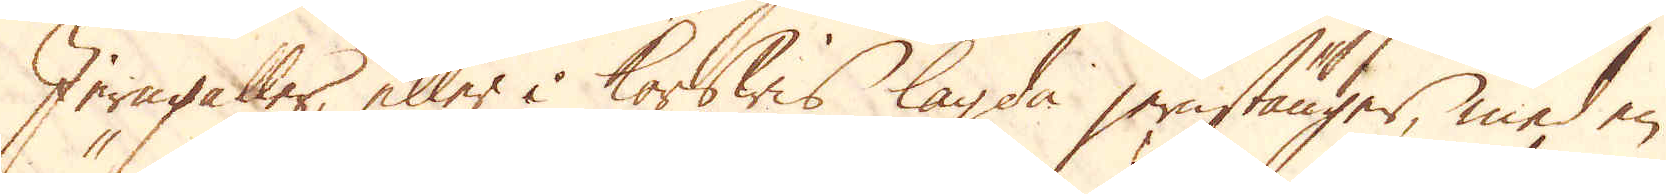Jerngaller, eller i korswis lagda jernstänger, med en
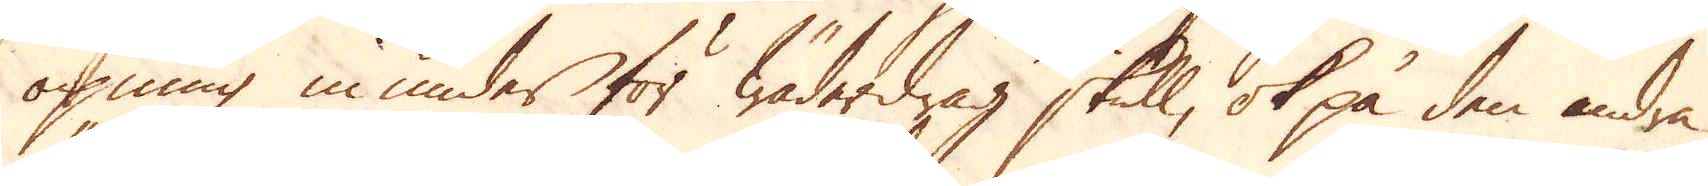öpning inunder för wäderdrag skull, ok på den andra
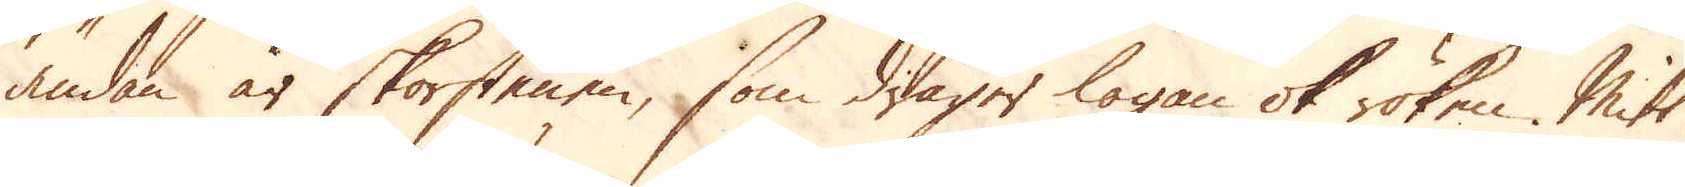ändan är skorstenen, som drager logan ok röken. Mitt
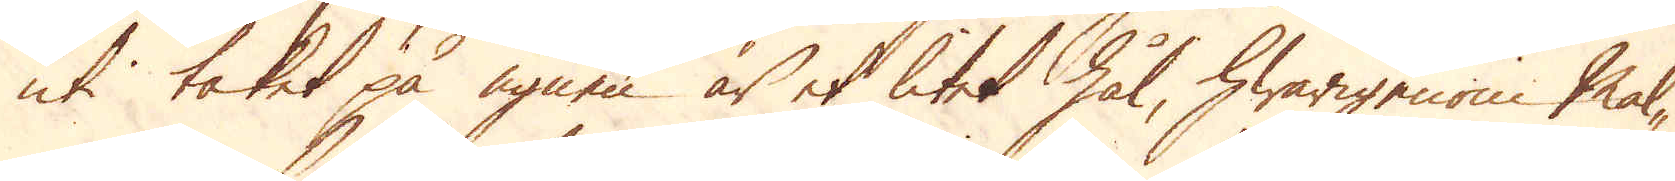uti taket på ugnen är et litet hål, hwarigenom mal-
